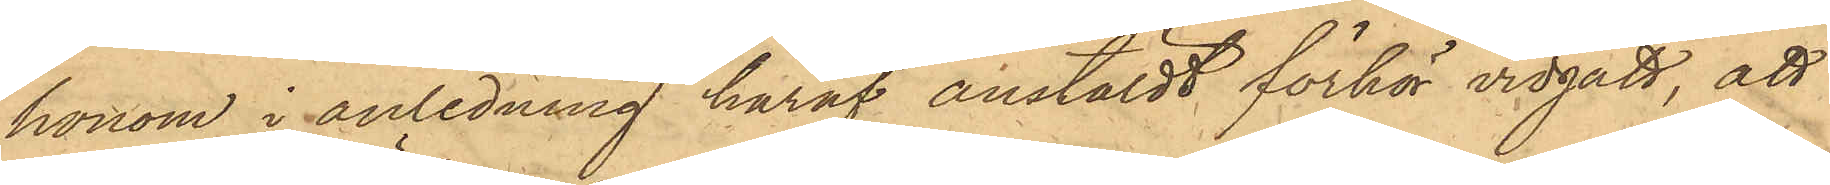honom i anledning häraf anstäldt förhör vidgått, att
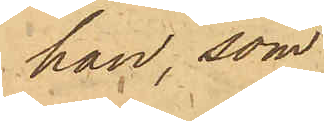han, som
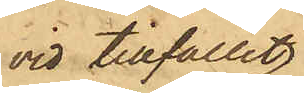vid tillfället
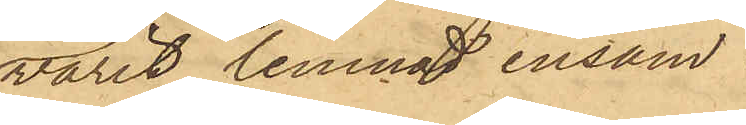varit lemnat ensam
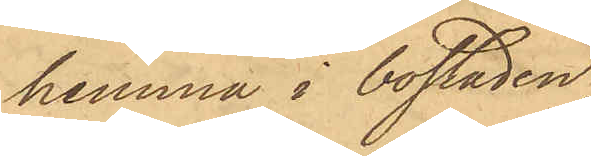hemma i bostaden,
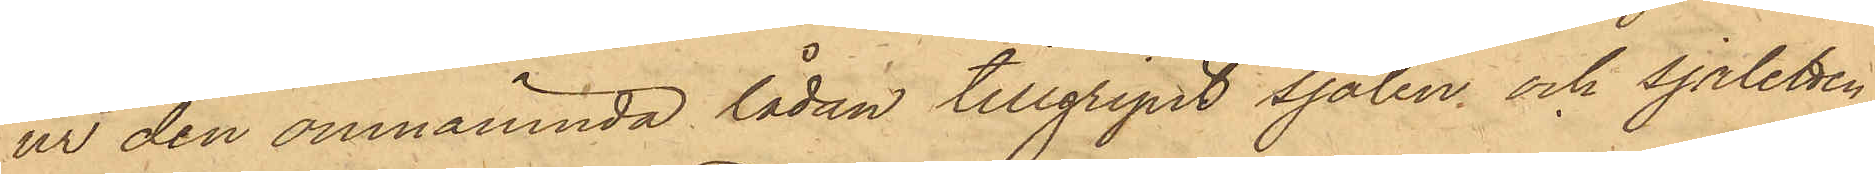ur den omnämnda lådan tillgripit sjalen och sjaletten,
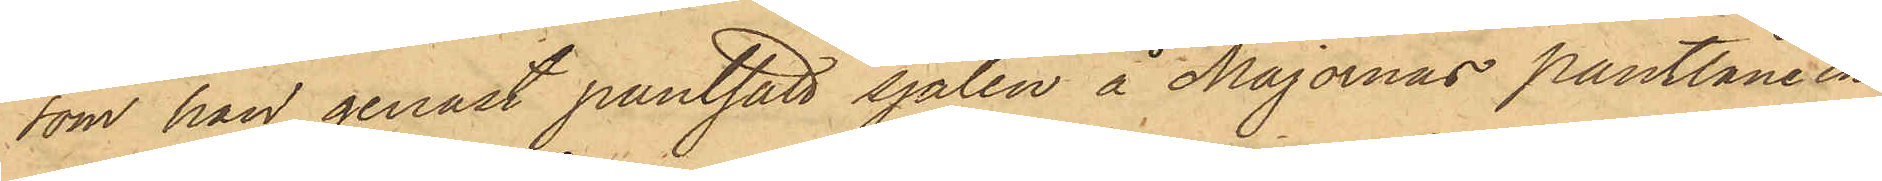som han genast pantsatt sjalen å Majornas Pantlånein¬
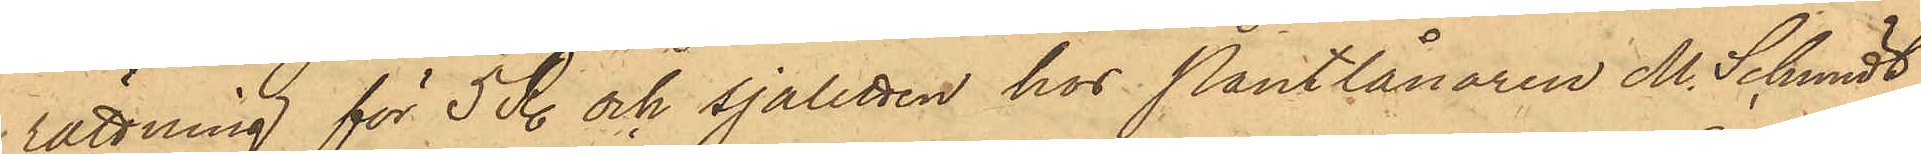rättning för 5 R. och sjaletten hos Pantlånaren M. Schmidt,
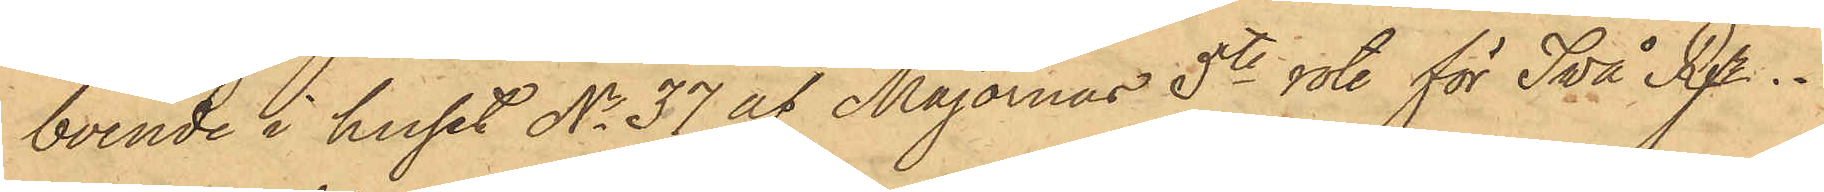boende i huset No 37 af Majornas 5te rote för Två Rgr.
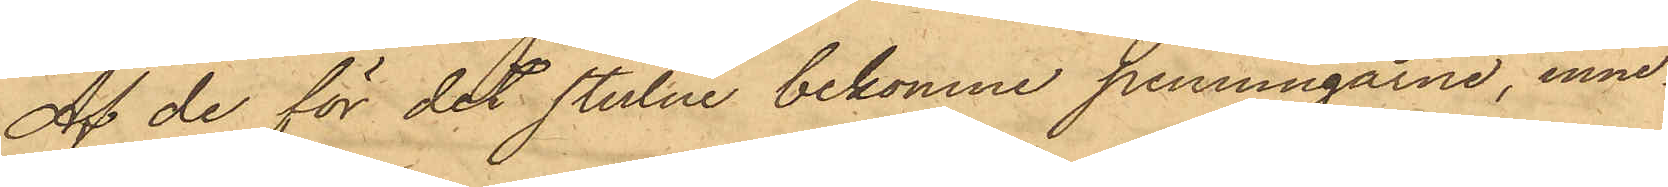Af de för det stulne bekomne penningarne, inne¬
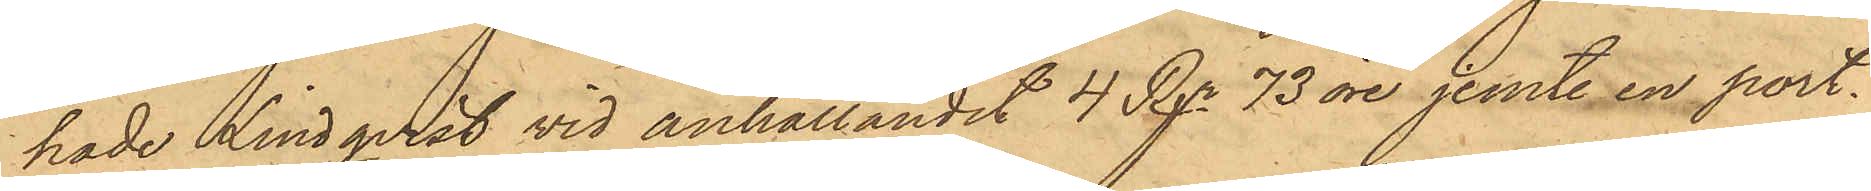hade Lindqvist vid anhållandet 4 Rgr. 73 öre jemte en port¬
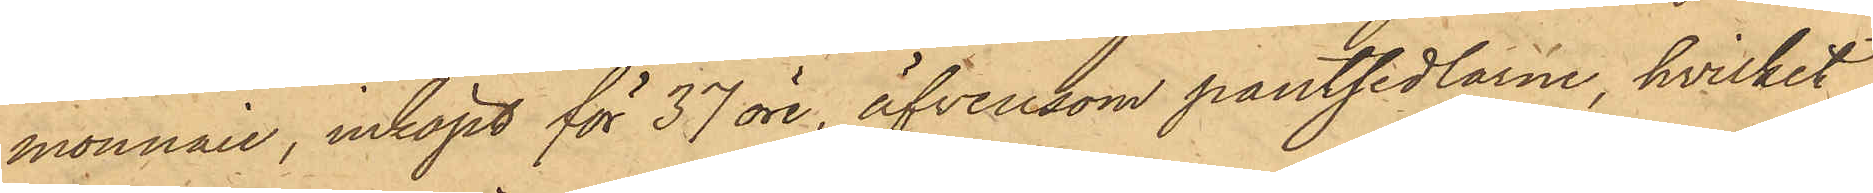monnaie, inköpt för 37 öre, äfvensom pantsedlarne, hvilket
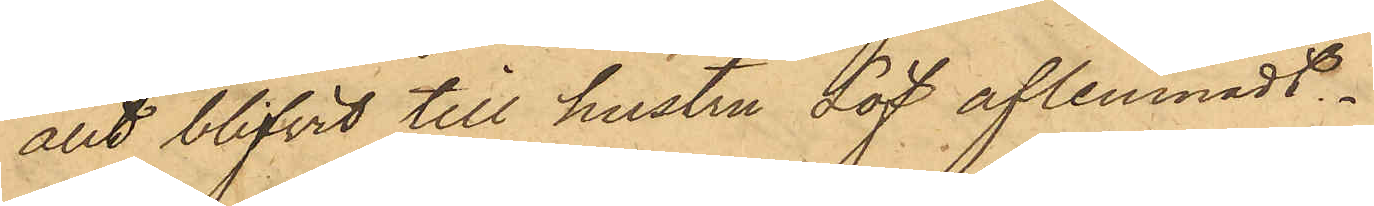allt blifvit till hustru Löf aflemnadt.
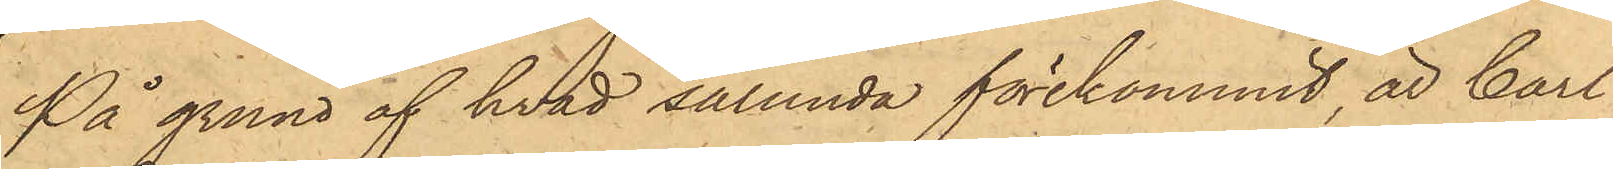På grund af hvad sålunda förekommit, är Carl
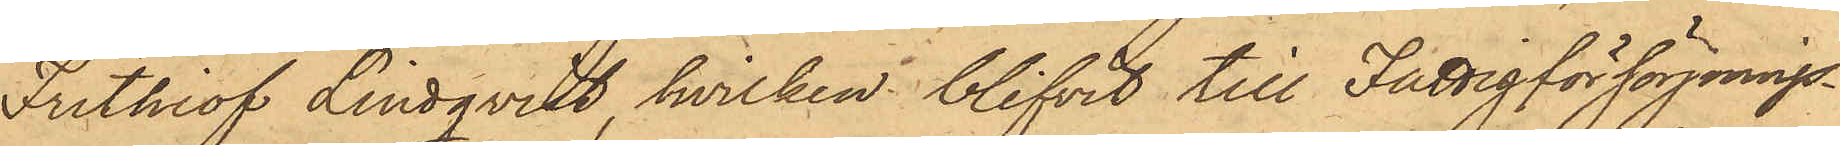Frithiof Lindqvist, hvilken blifvit till Fattigförsörjnings¬
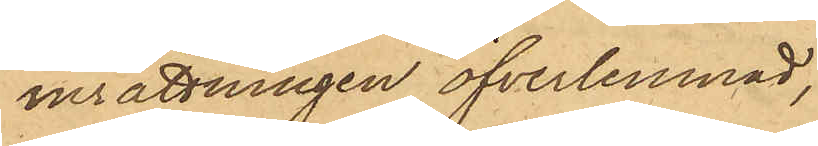inrättningen öfverlemnad,
